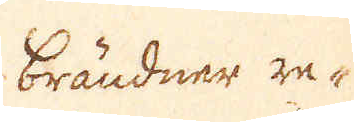Brändner re-
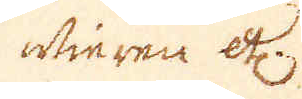fieren etc.
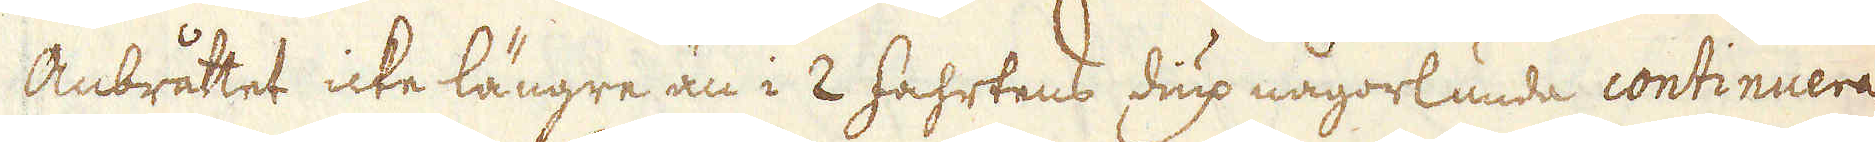Anbråttet icke längre än i 2 fahrtens diup någorlunda continuera
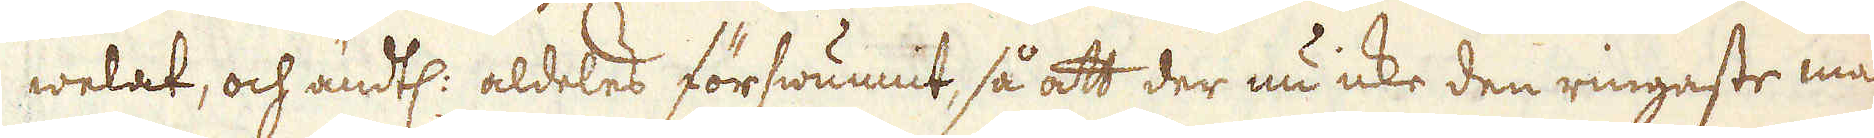welat, och ändtl: aldeles förswunnit, så att der nu icke den ringaste malm-
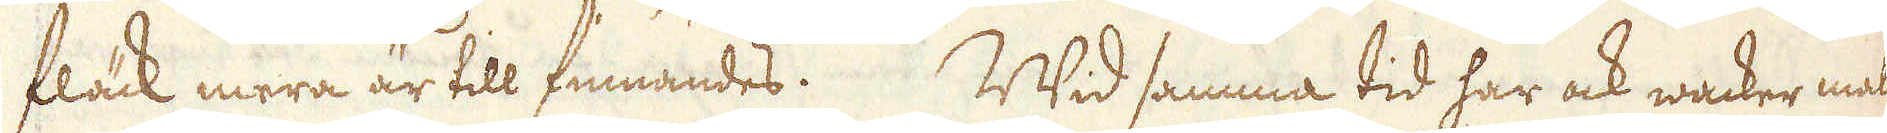fläck mera är till finnandes. Wid samma tid har ock wacker malm
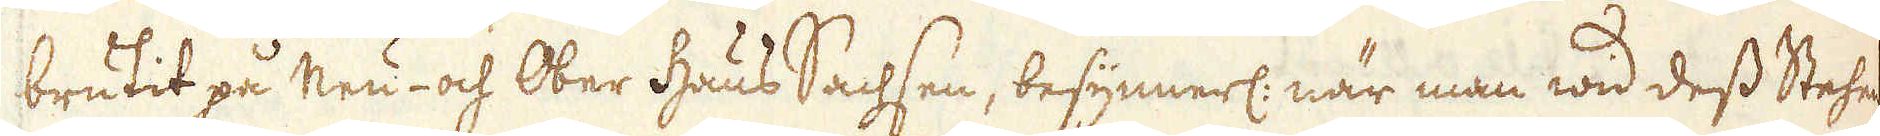brutit på Neu- och Ober Haus Sachsen, besynnerl: när man wid dess Stehne-
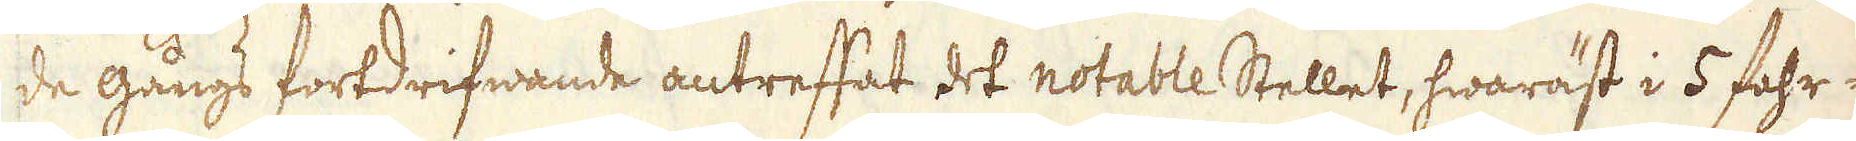de gångs fortdrifwande antreffat det notable Stellet, hwaräst i 5 fahr-
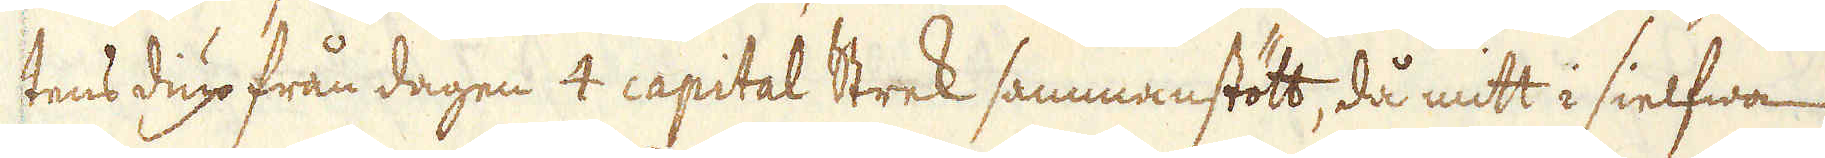tens dup från dagen 4 capital Strek sammanstött, då mitt i sielfwa
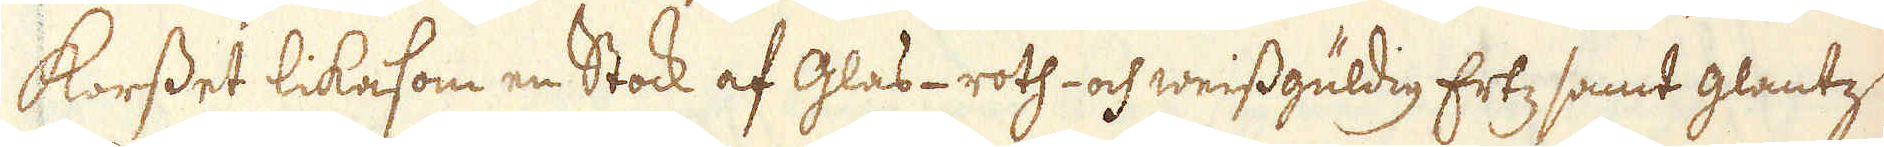korset likasom en Stock af Glas-roth- och weissgüldig Ertz samt glantz
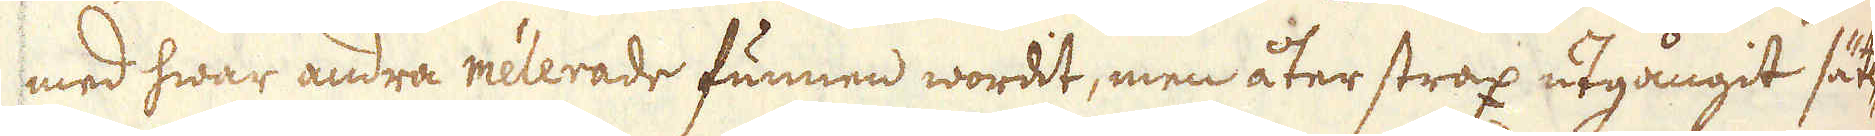med hwar andra mélerade funnen wordit, men åter strax utgångit sätt-
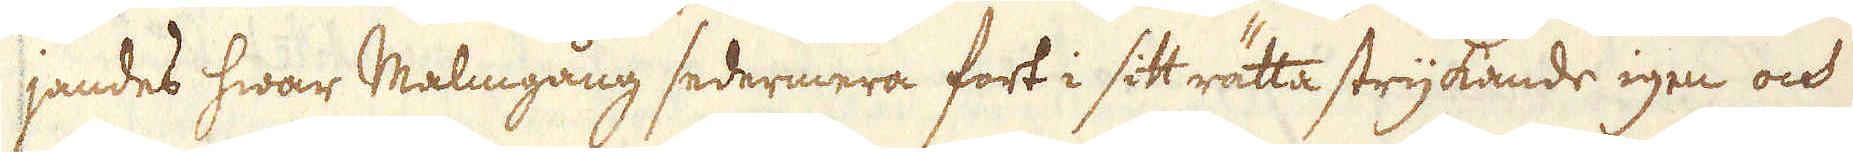jandes hwar Malmgång sedermera fort i sitt rätta strykande igen och
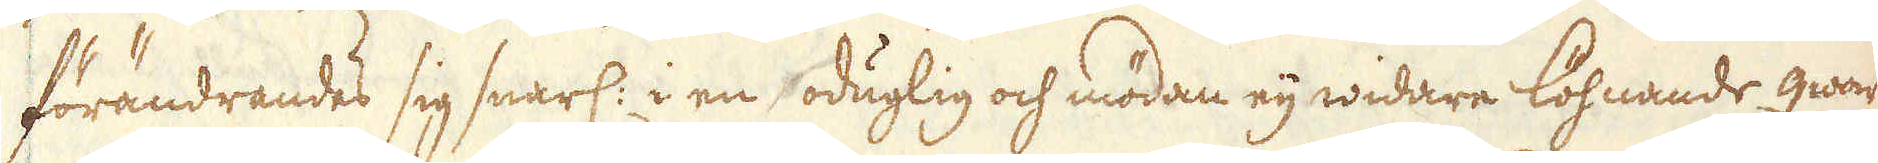förändrandes sig snarl: i en oduglig och mödan eij widare löhnande qwartz
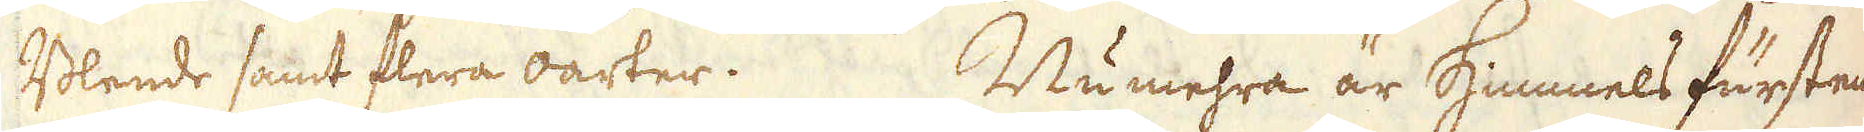Blende samt flera oarter. Numehra är Himmels furstens
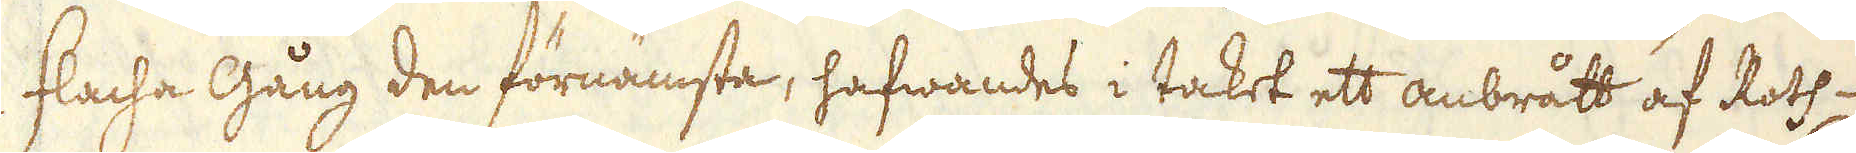flacha Gång den förnämsta, hafwandes i taket ett anbrått af Roth
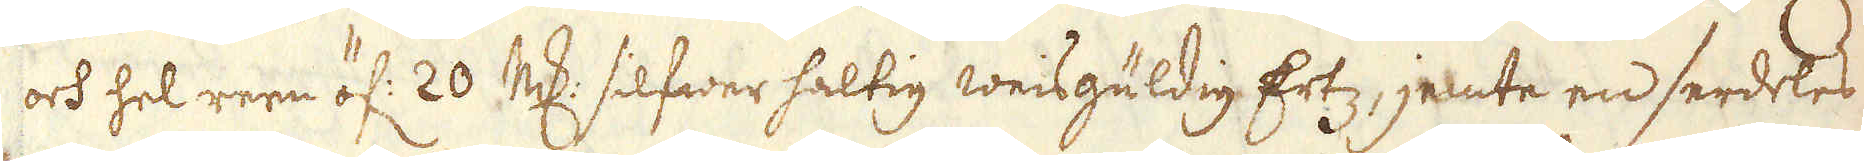och hel reen öf: 20 marker silfwer haltig weisgüldig Ertz, jemte en serdeles
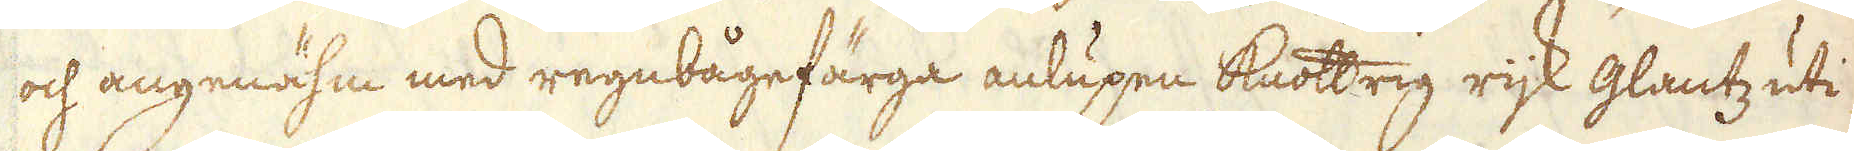och angenähm med regnbågefärga anlupen knottrig rijk glantz uti
